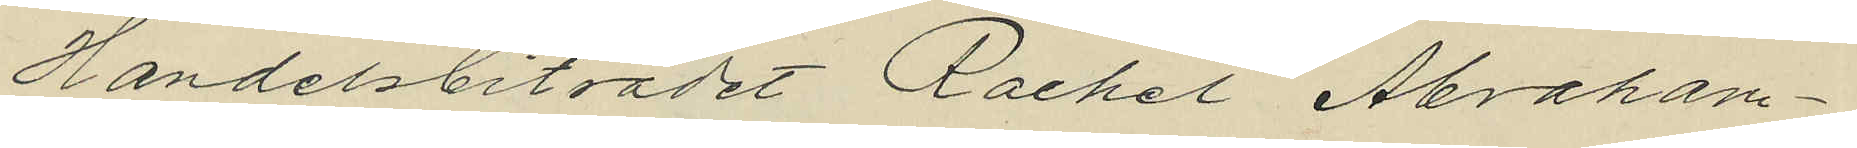Handelsbiträdet Rachel Abraham¬
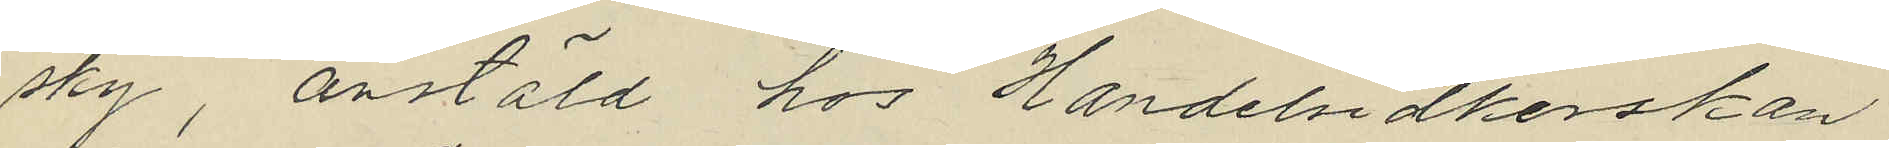sky, anstäld hos Handelsidkerskan
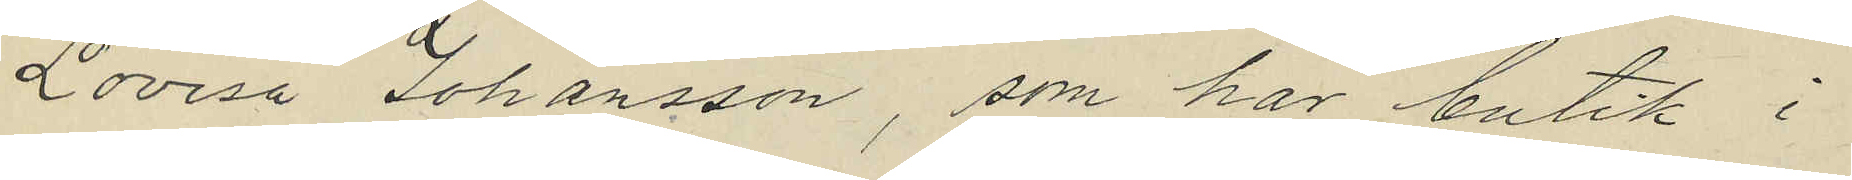Lovisa Johansson, som har butik i
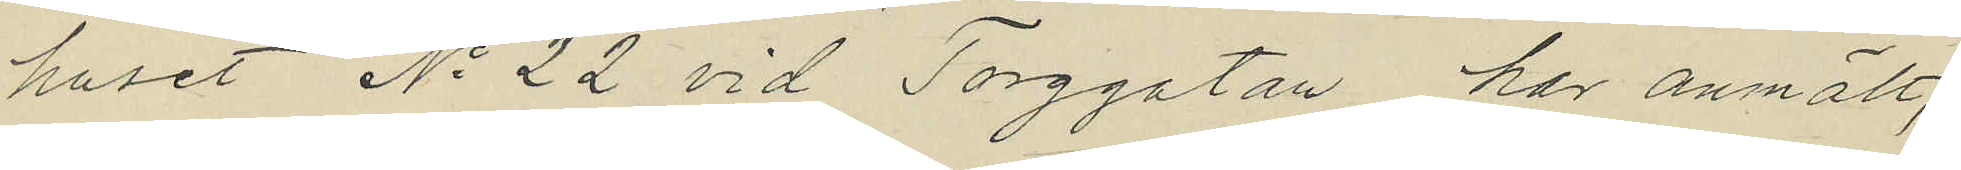huset No 22 vid Torggatan har anmält,
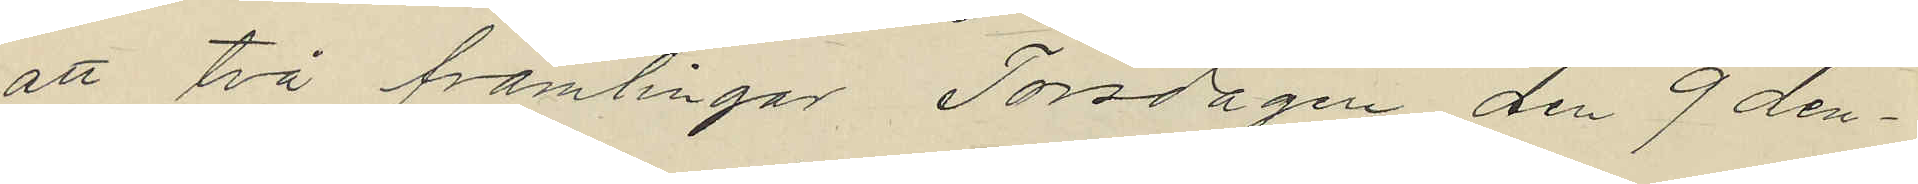att två främlingar Torsdagen den 9 den¬
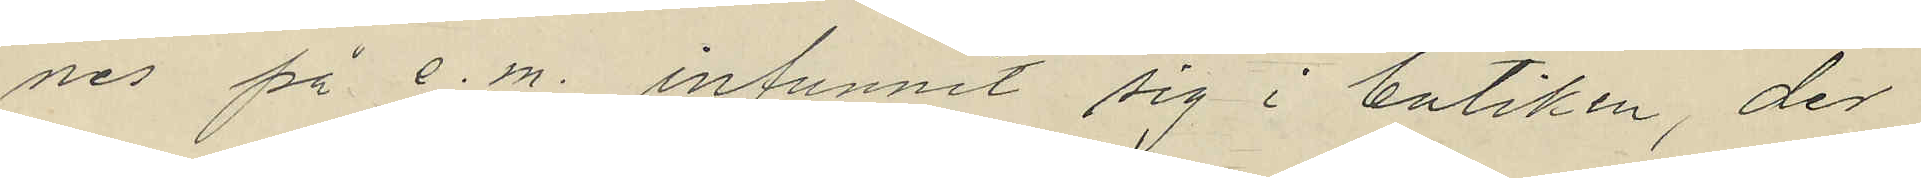nes på e.m. infunnit sig i butiken, der
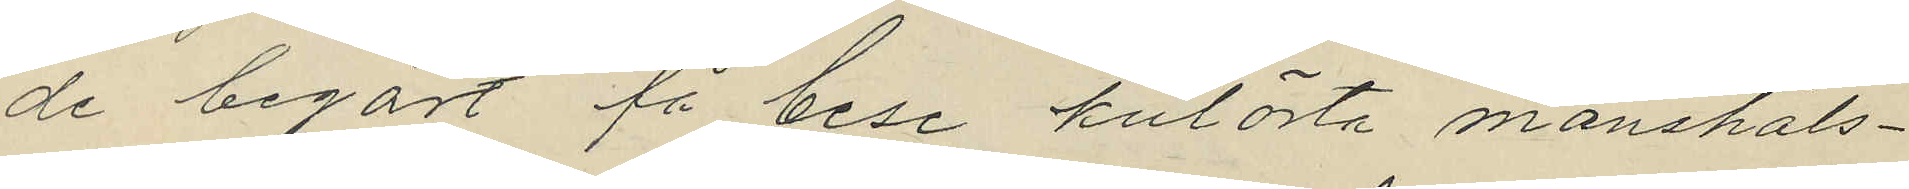de begärt få bese kulörta manshals¬
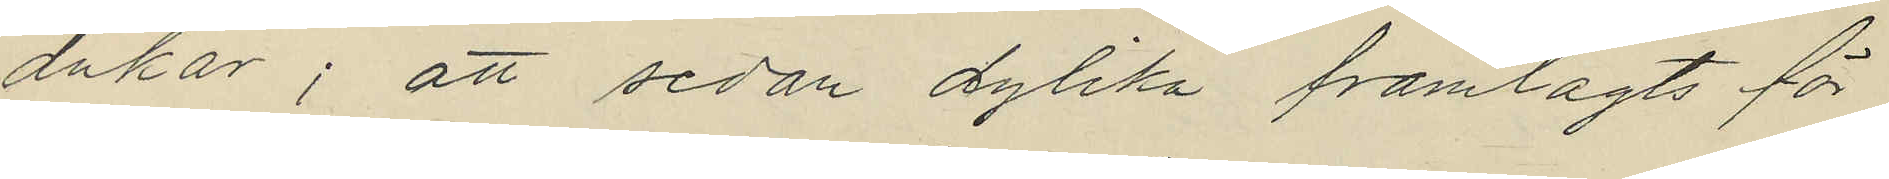dukar; att sedan dylika framlagts för
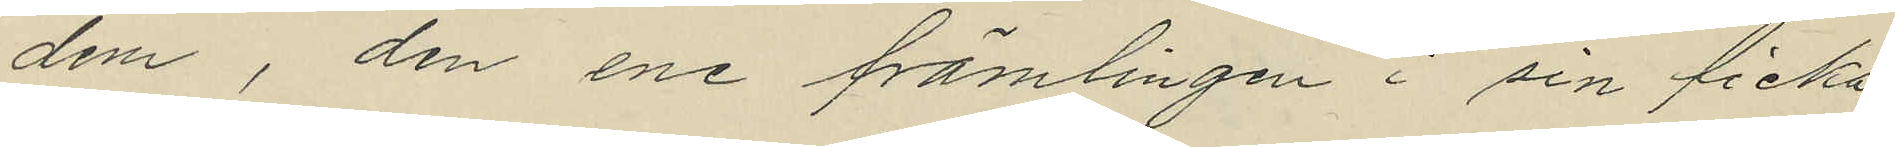dem, den ene främlingen i sin ficka
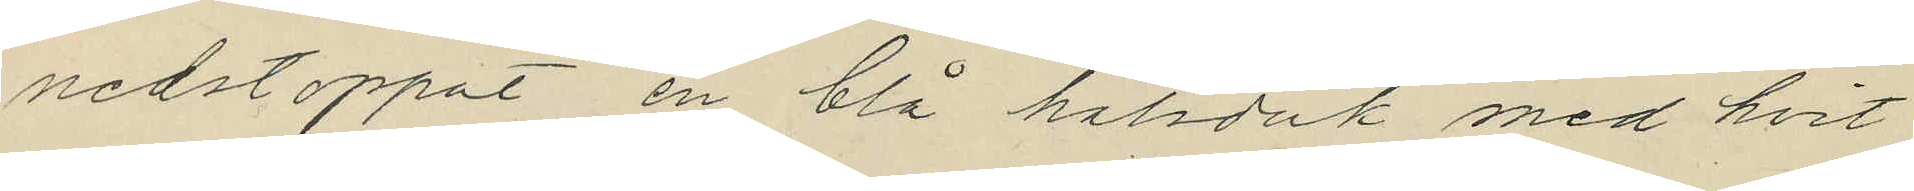nedstoppat en blå halsduk med hvit
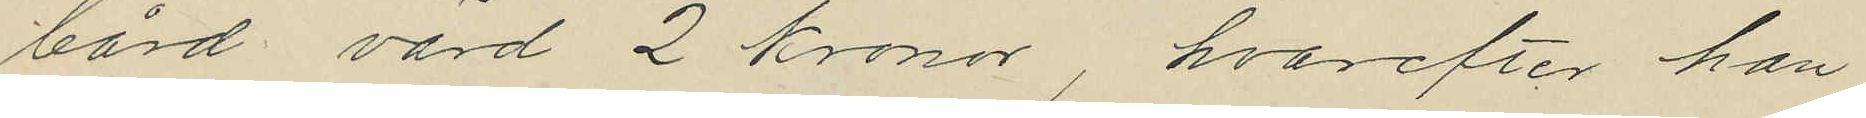bård värd 2 kronor hvarefter han
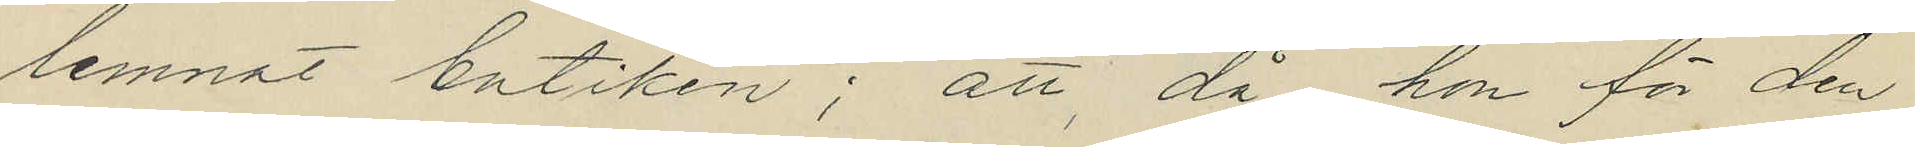lemnat butiken; att, då hon för den
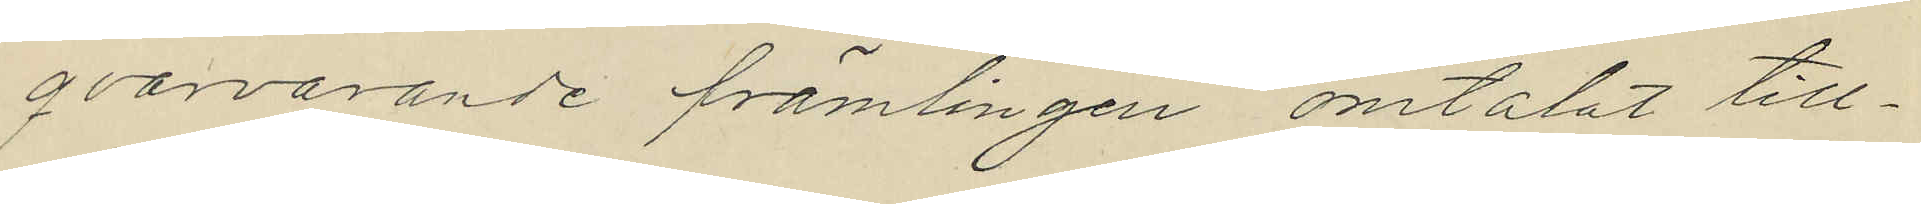qvarvarande främlingen omtalat till¬
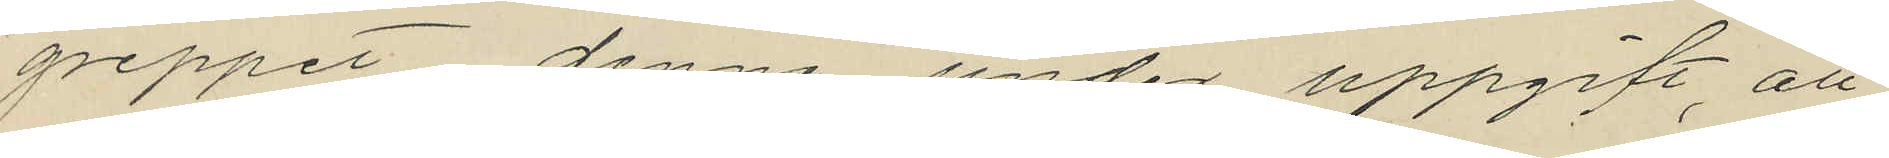greppet denne under uppgift att
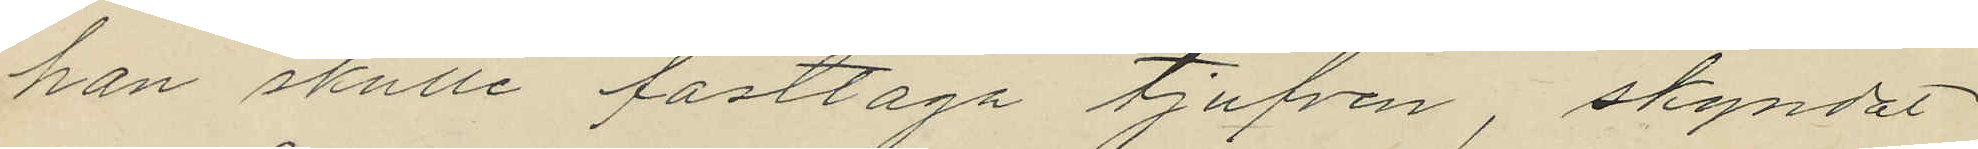han skulle fasttaga tjufven, skyndat
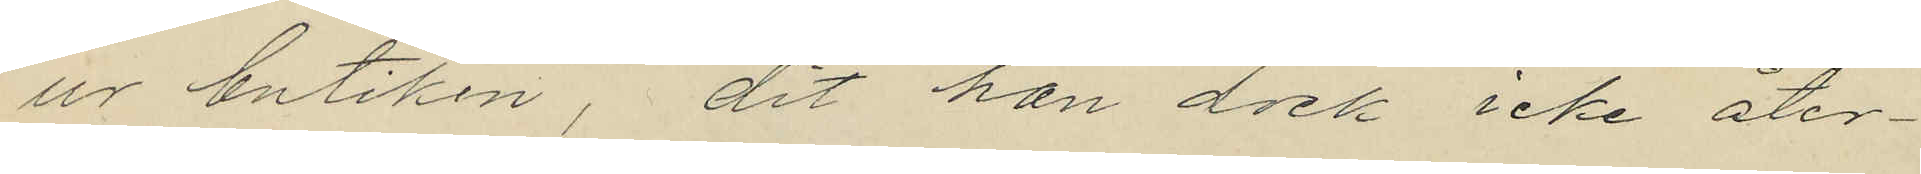ur butiken dit han dock icke åter¬
